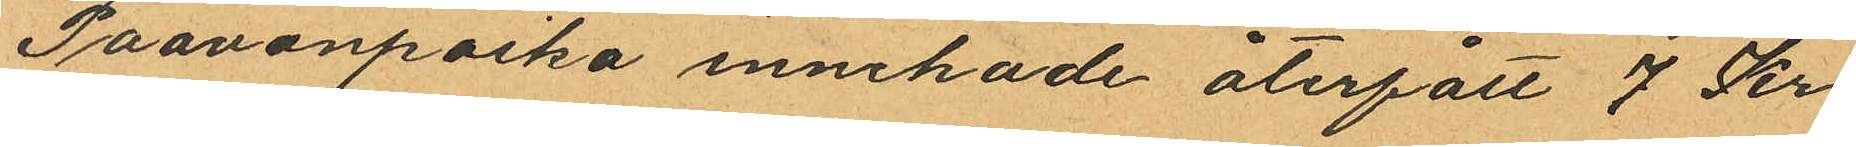Paavanpoika innehade återfått 7 Kr.
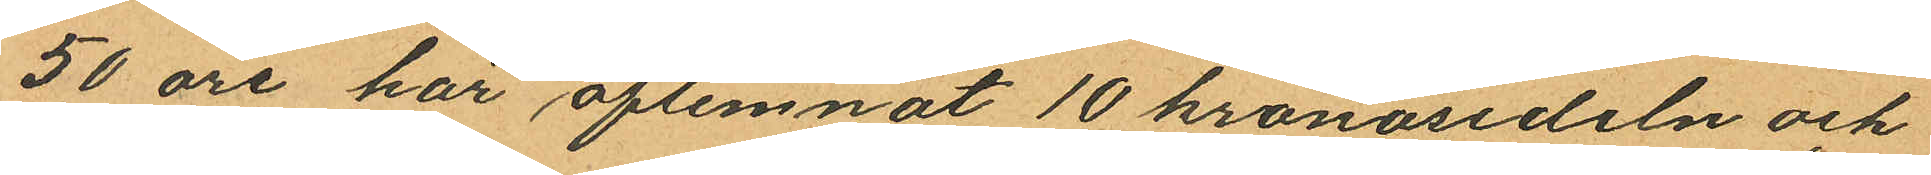50 öre har aflemnat 10 kronosedeln och
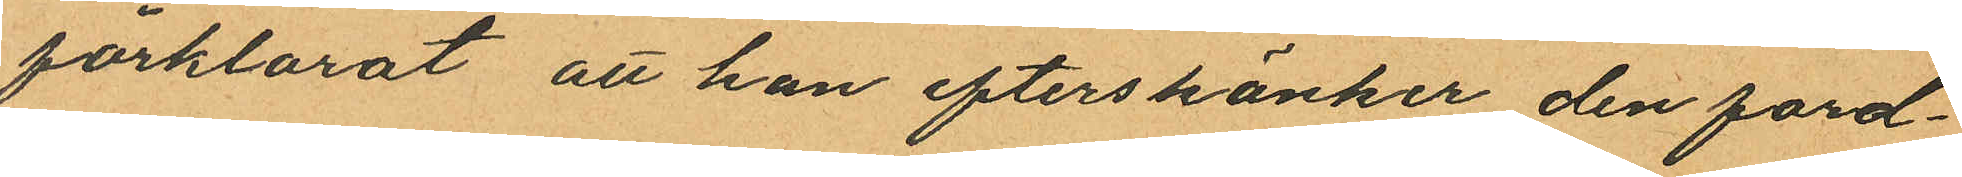förklarat att han efterskänker den ford¬
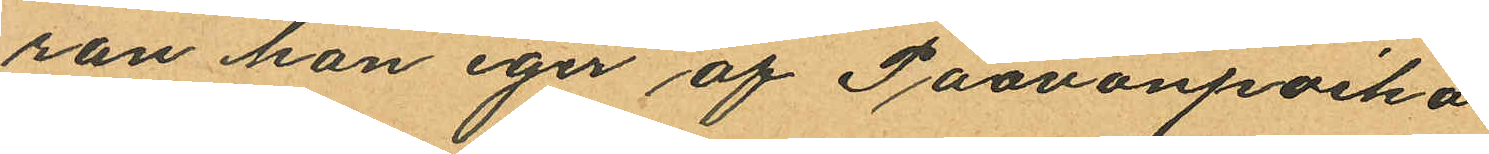ran han eger af Paavonpoika.
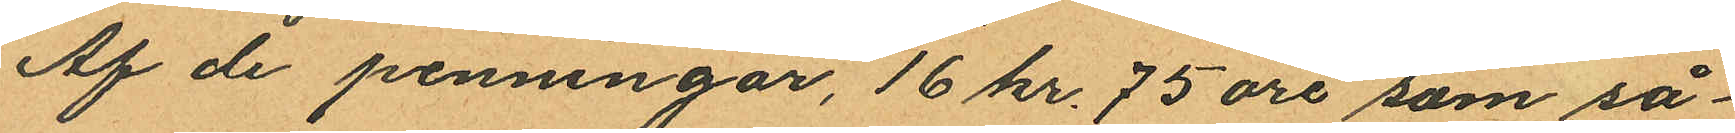Af de penningar, 16 kr. 75 öre som så¬
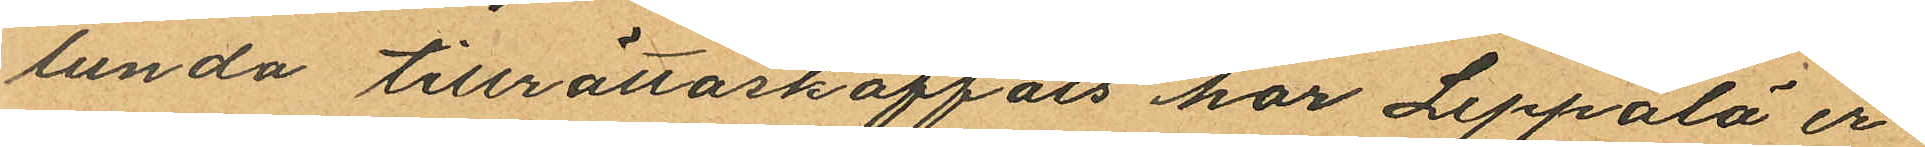lunda tillrättaskaffats har Leppälä er
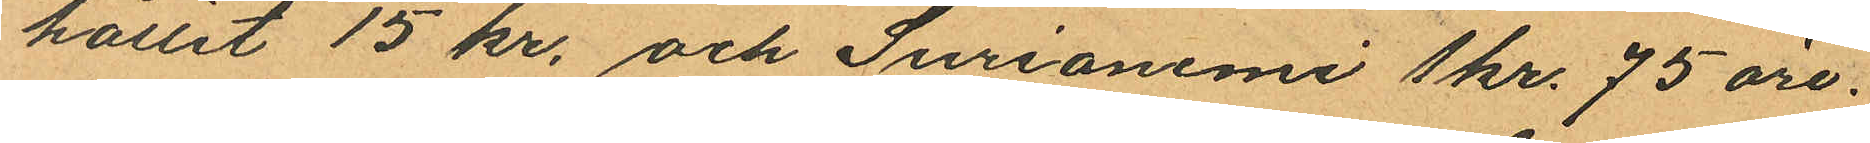hållit 15 kr. och Surianemi  1 kr. 75 öre.
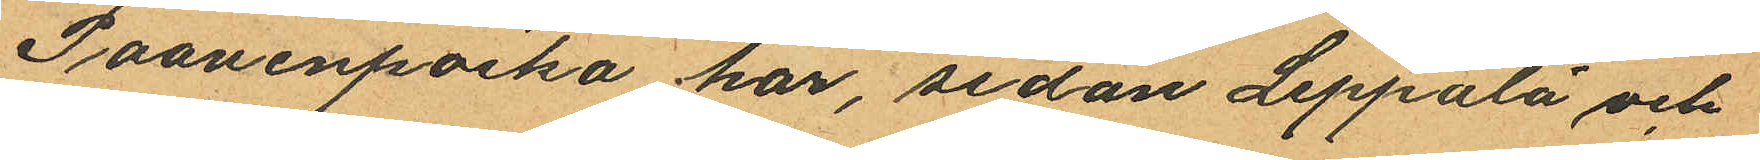Paavenpoika har, sedan Leppälä och
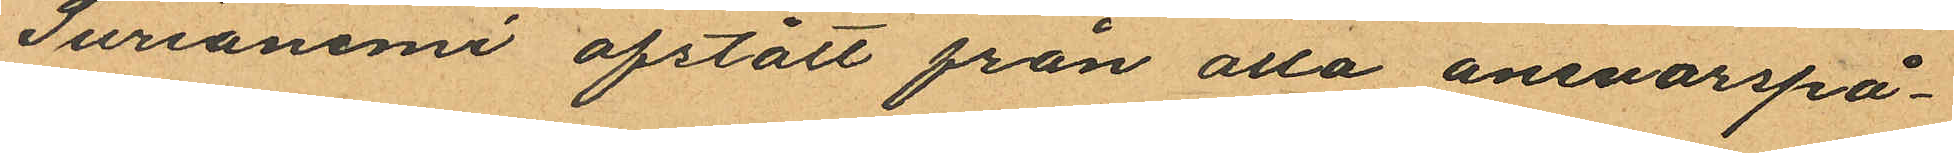Surianemi afstått från alla ansvarspå¬
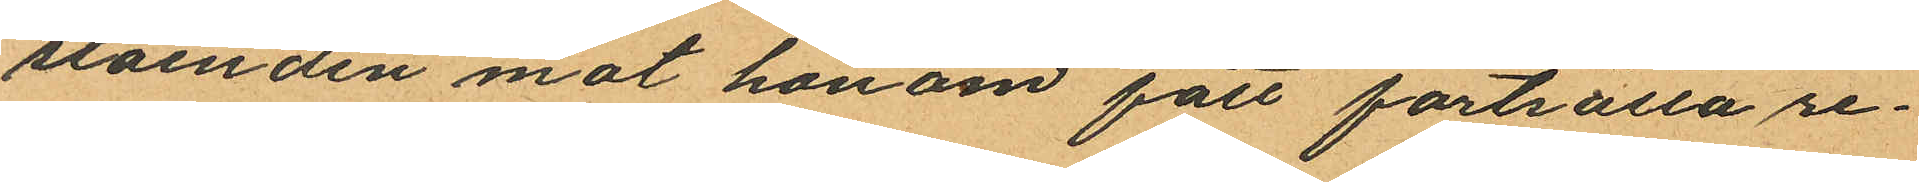ståenden mot honom fått fortsätta re¬
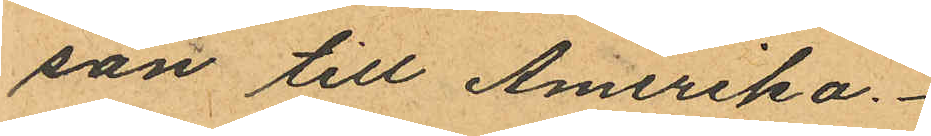san till Amerika.
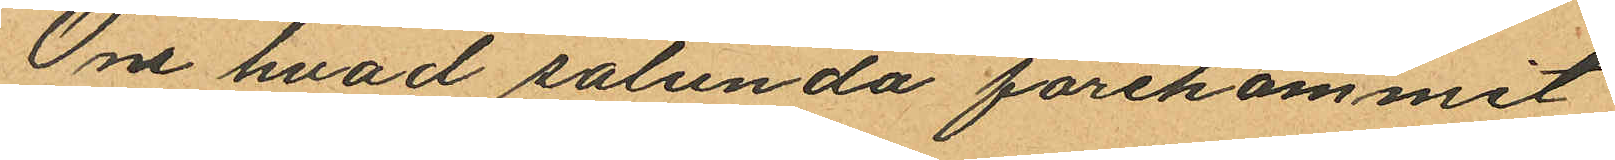Om hvad sålunda förekommit
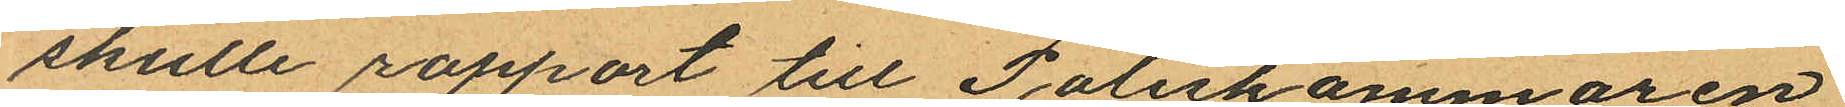skulle rapport till Poliskammaren
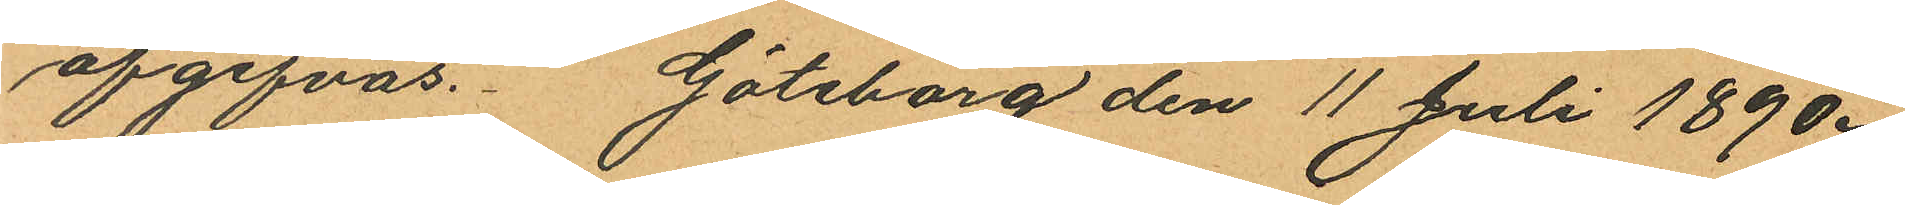afgifvas. Göteborg den 11 Juli 1890.
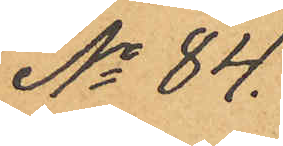No 84.
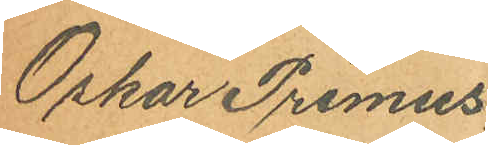Oskar Primus
